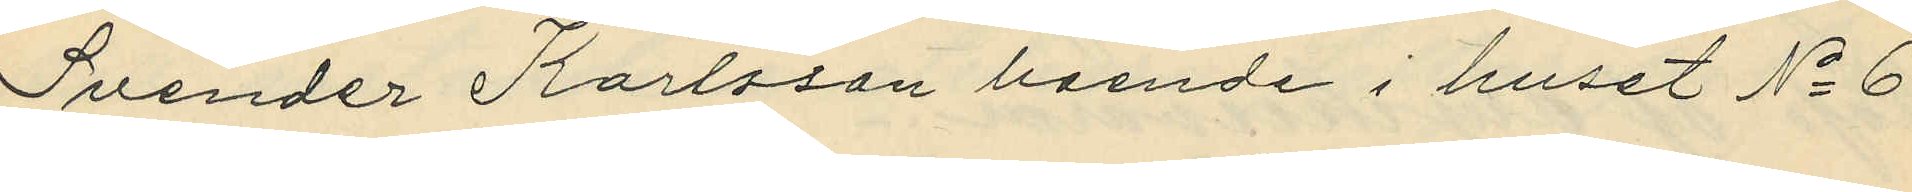Svender Karlsson boende i huset No 6
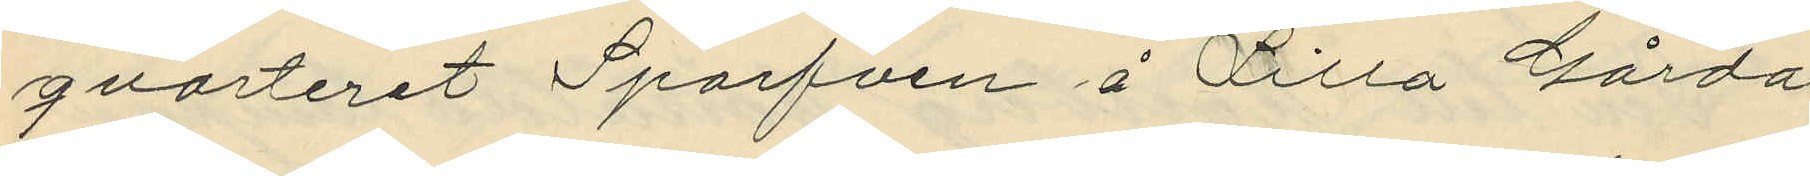qvarteret Sprafven i Lilla Gårda.
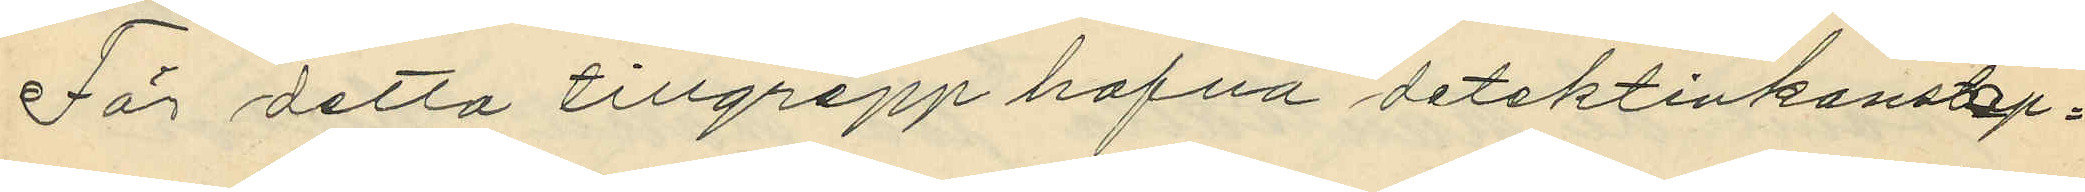För detta tillgrepp hafva detektivkonstap¬
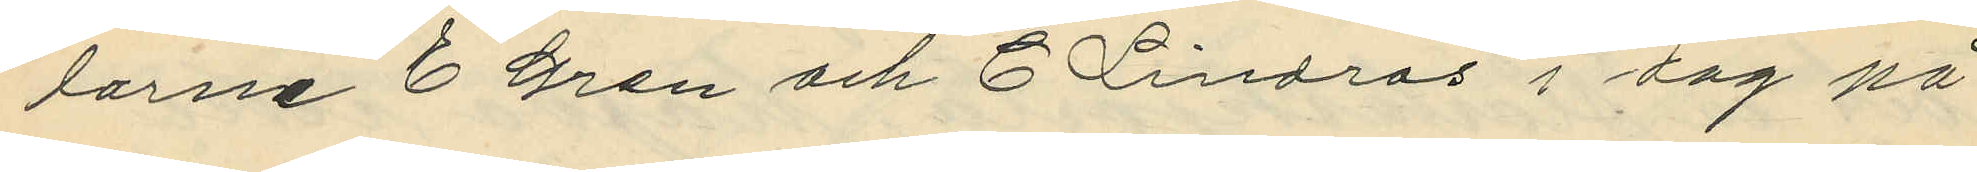larne E. Gren och C. Lindros i dag på
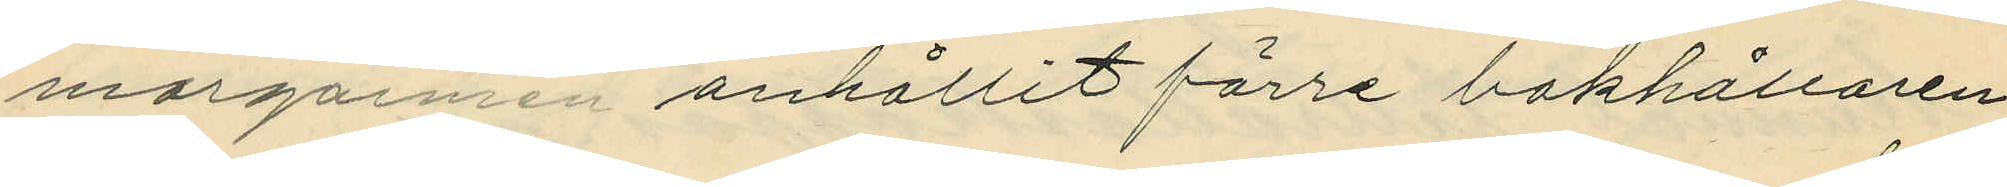morgonen anhållit förre bokhållaren
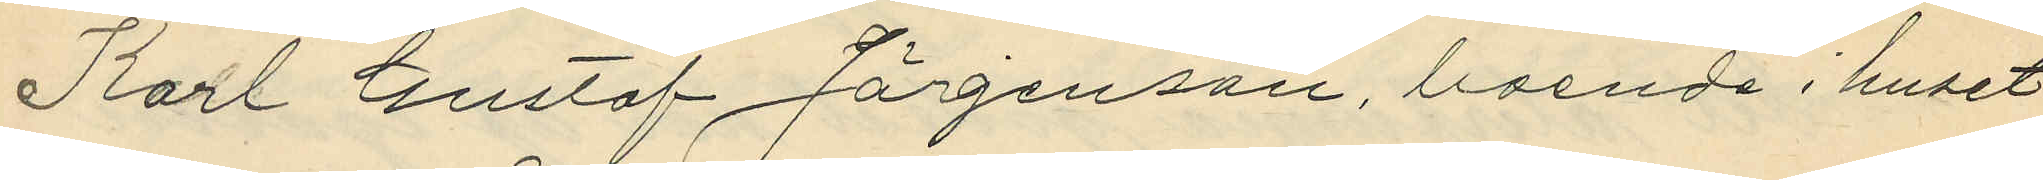Karl Gustaf Jörgenson, boende i huset
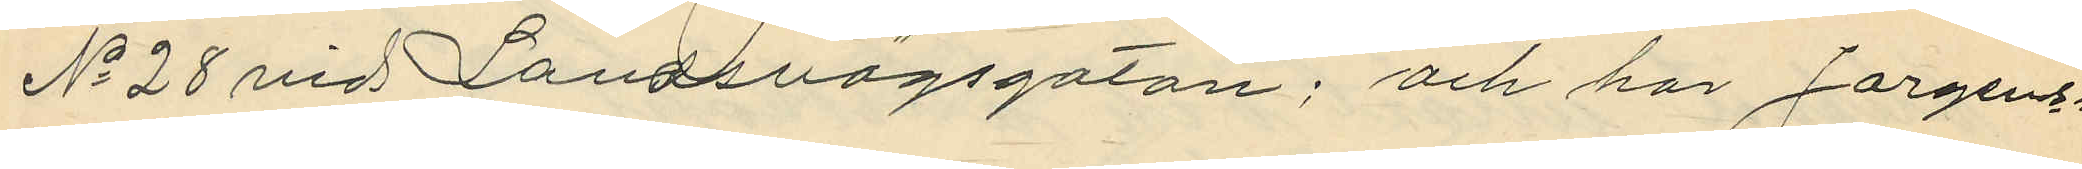No 28 vid Landsvägsgatan, och har Jorgens¬
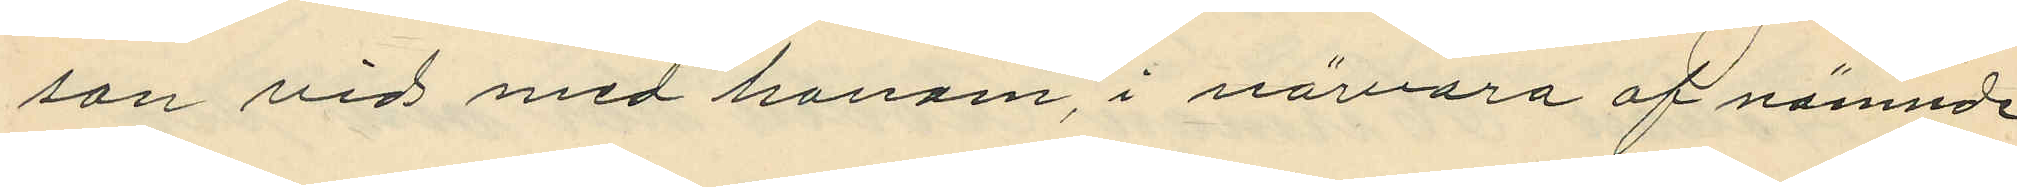son vid med honom, i nävara af nämnde
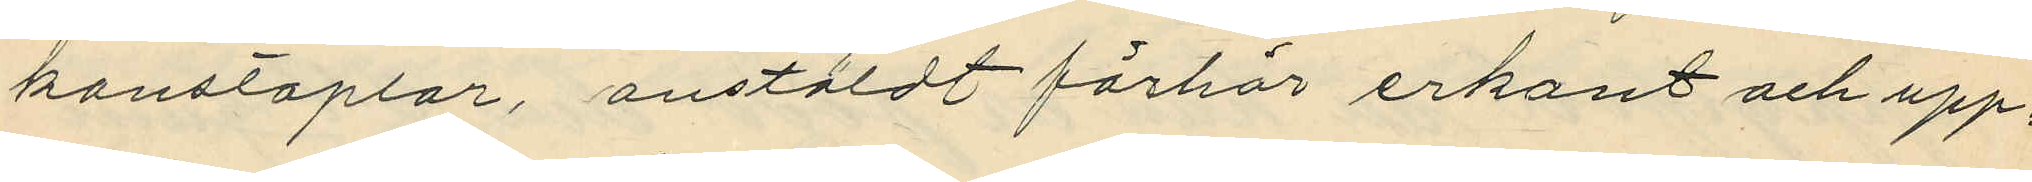konstaplar, anstäldt förhör erkant och upp¬
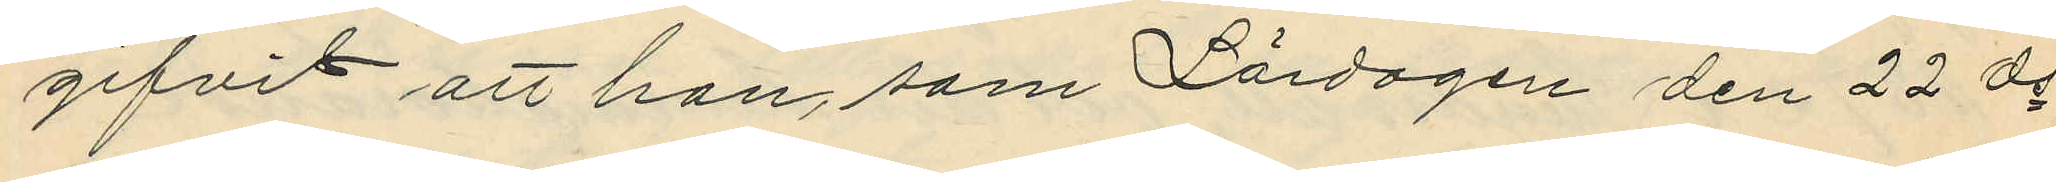gifvit att han, som Lördagen den 22 ds
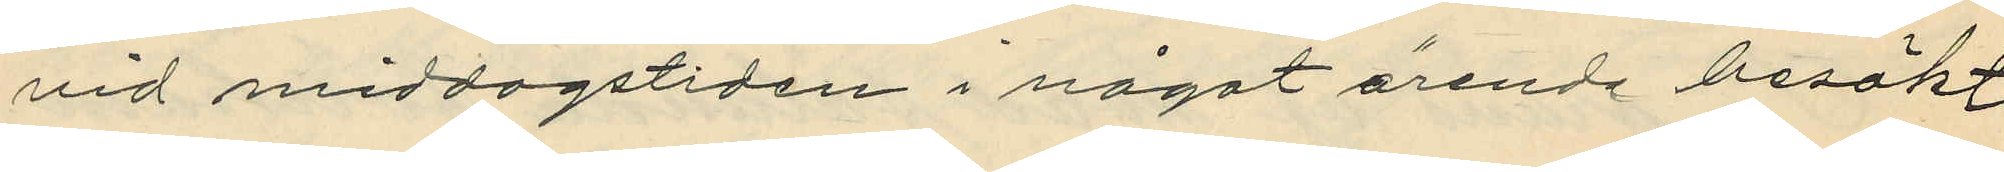vid middagstiden i något ärende besökt
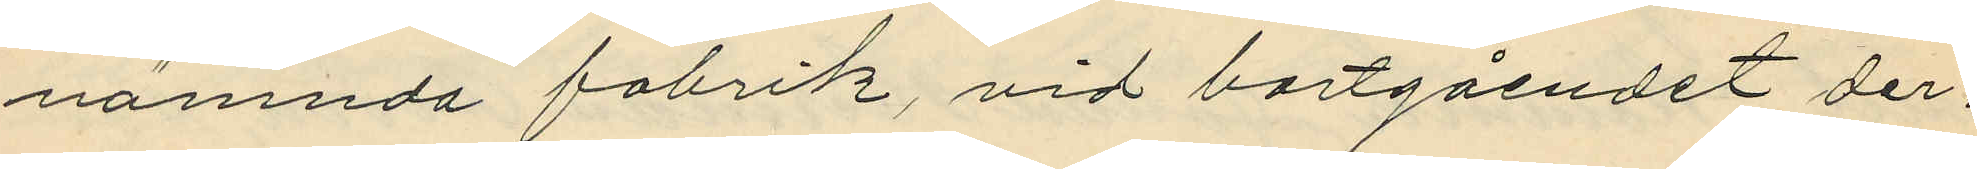nämnda fabrik vid bortgåendet der¬
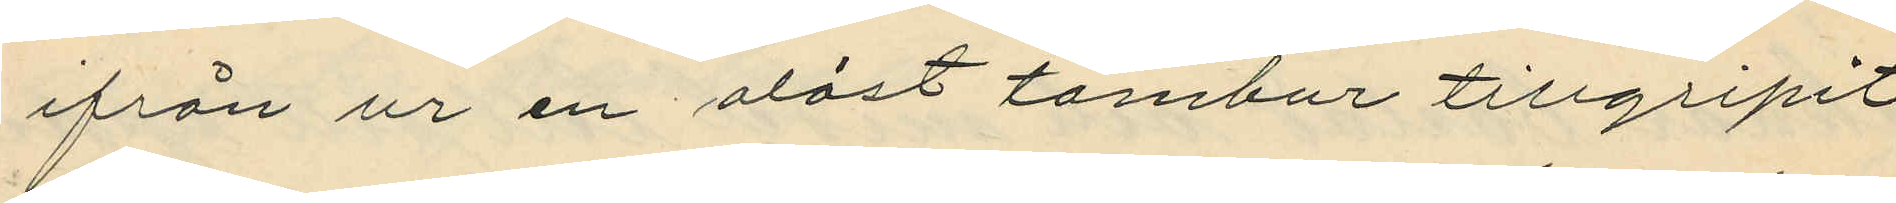ifrån ur en olåst tambur tillgripit
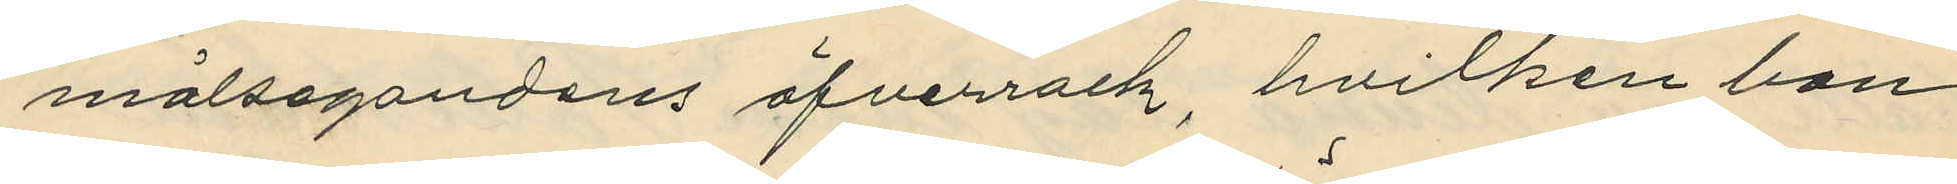målsegandens öfverrock, hvilken han
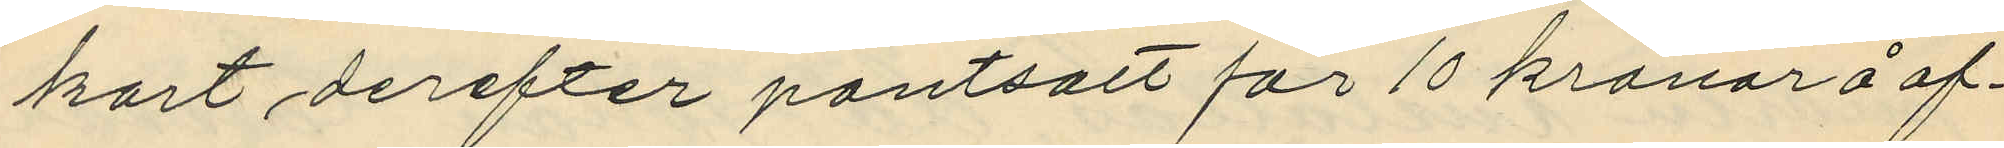kort derefter pantsatt för 10 kronor å of¬
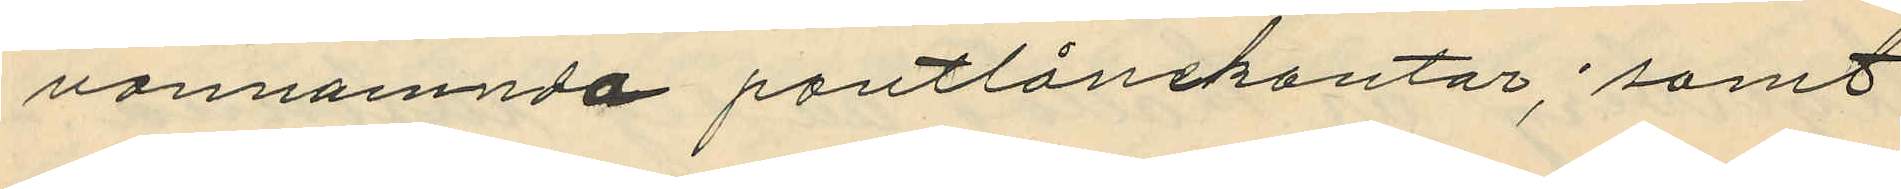vannamnda pantlånekontor; samt
